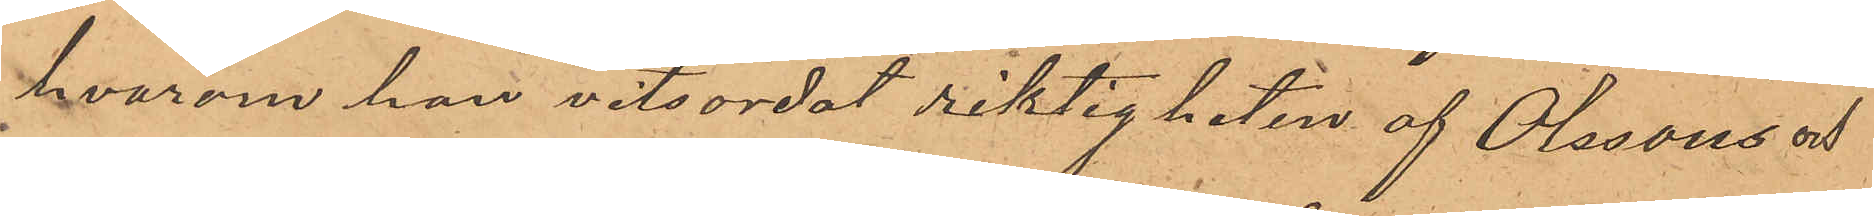hvarom han vitsordat riktigheten af Olssons och
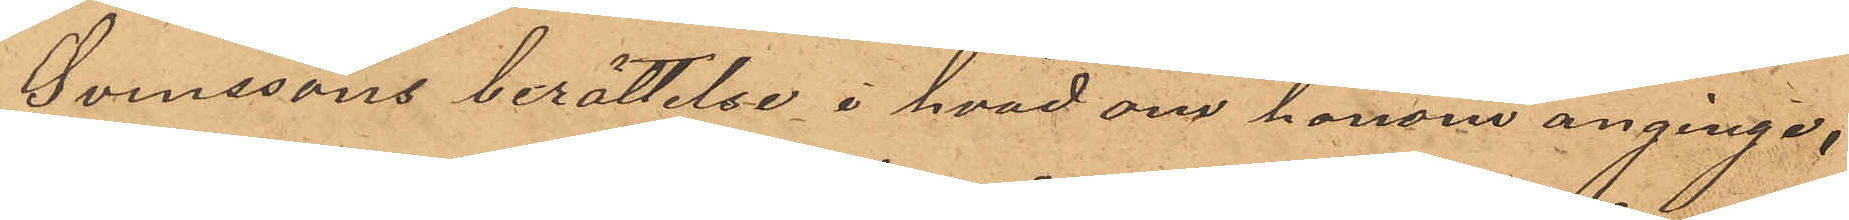Svenssons berättelse i hvad om honom anginge,
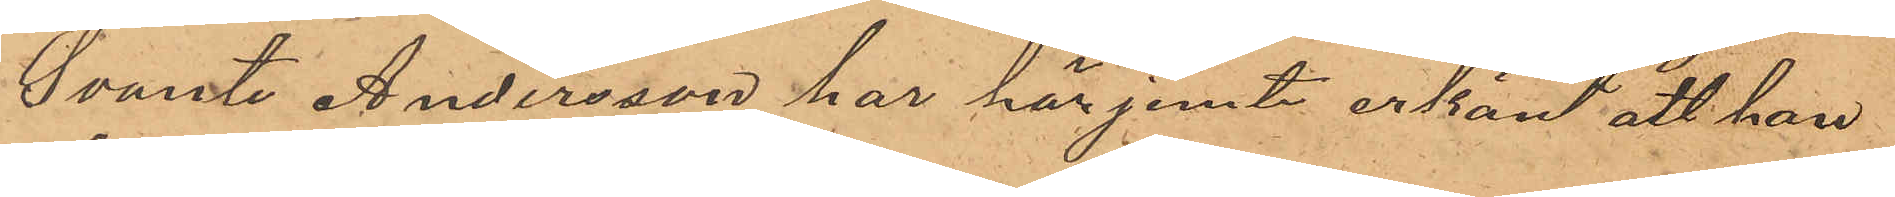Svante Andersson har här jemte erkänt att han
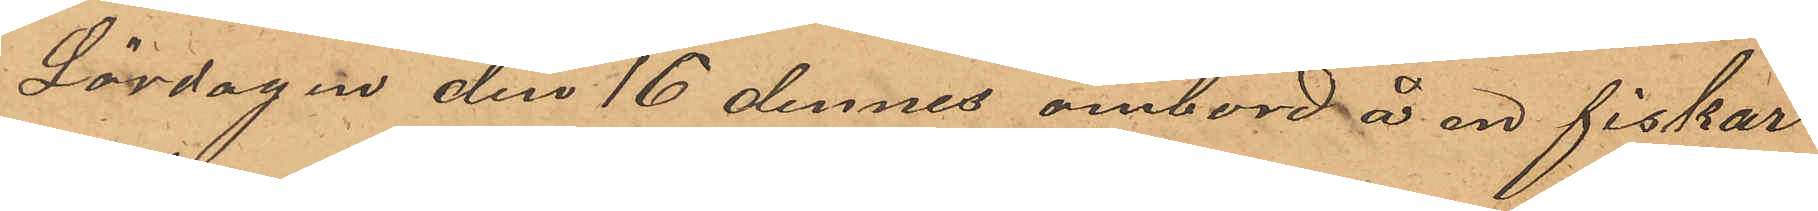Lördagen den 16 dennes ombord å en fiskar¬
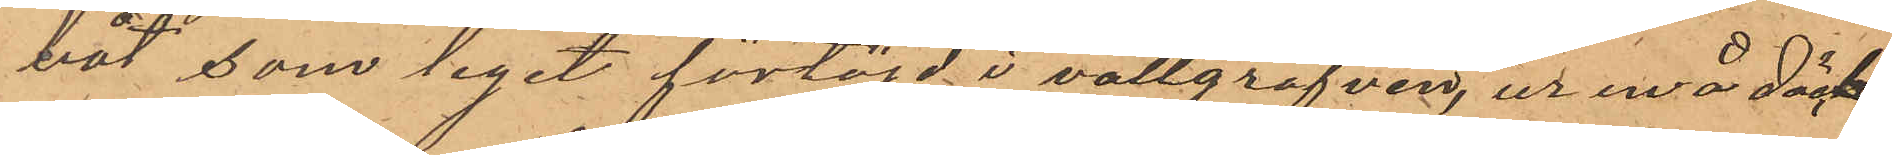båt, som legat förtöjd i vallgrafven, ur en å däck¬
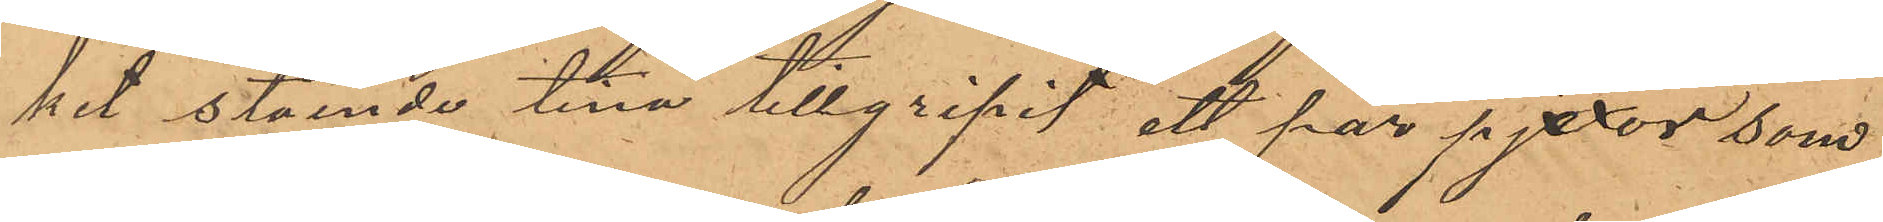het stående tina tillgripit ett par pjexor, som
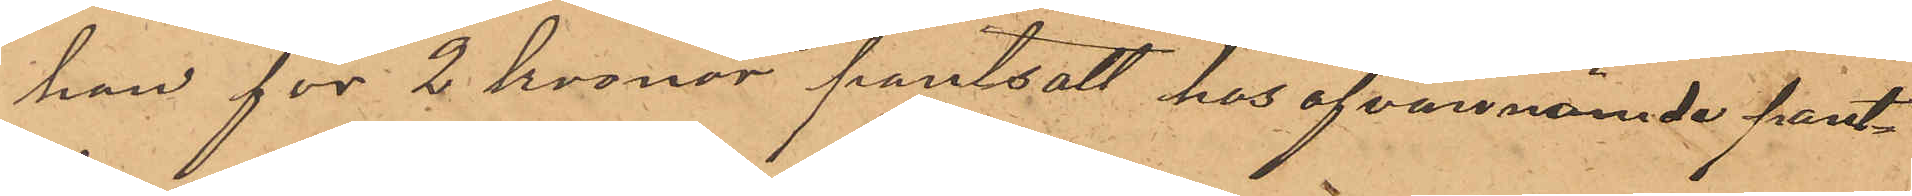han för 2 kronor pantsatt hos ofvannämnde pant¬
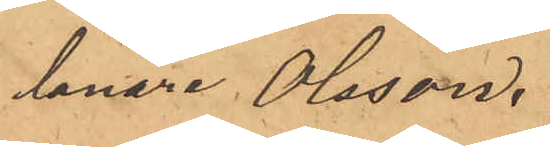lånare Olsson.
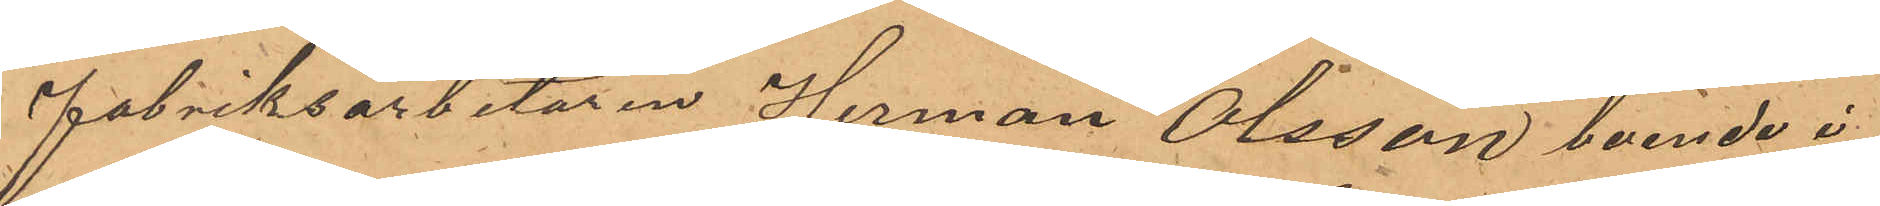Fabriksarbetaren Herman Olsson, boende i
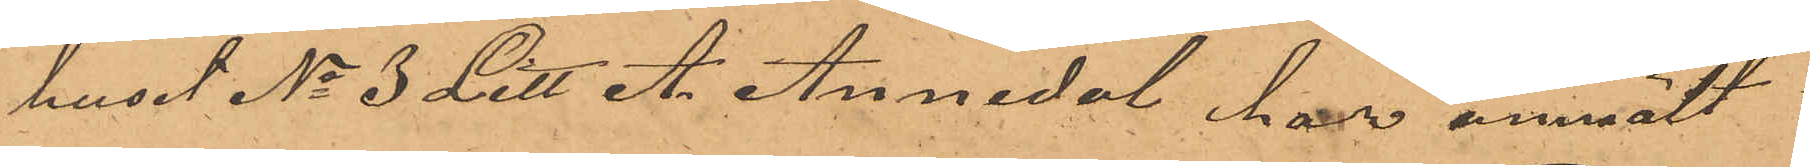huset No 3 Litt. A. Annedal har anmält:
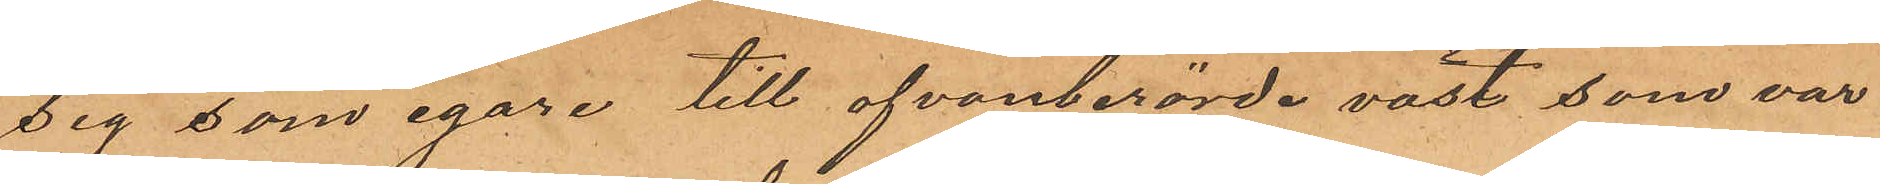sig som egare till ofvanberörde väst, som var
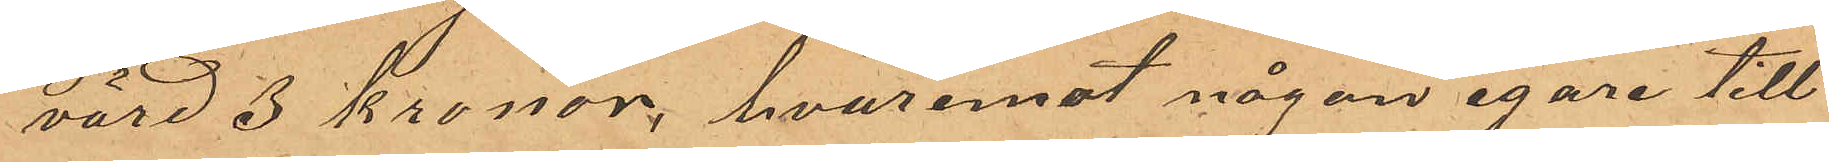värd 3 Kronor, hvaremot någon egare till
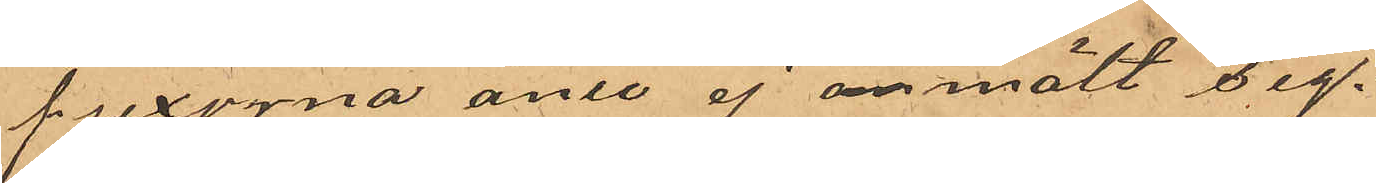pjexorna änu ej anmält sig.
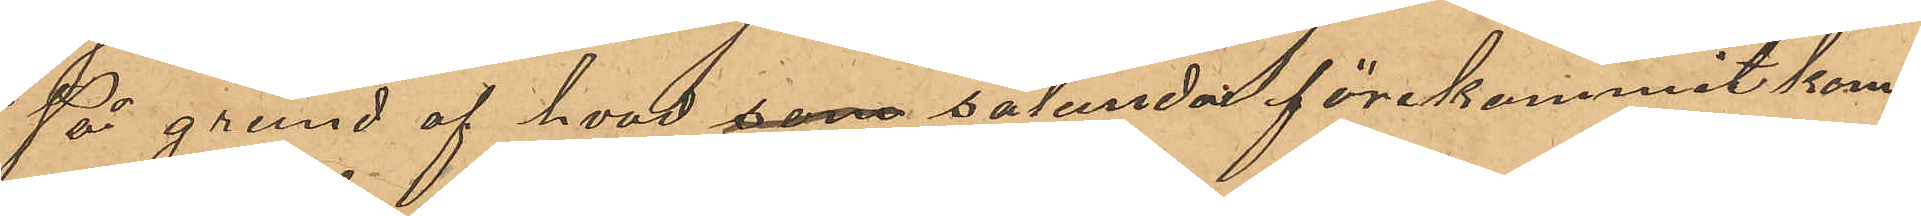På grund af hvad som sålunda förekommit kom¬
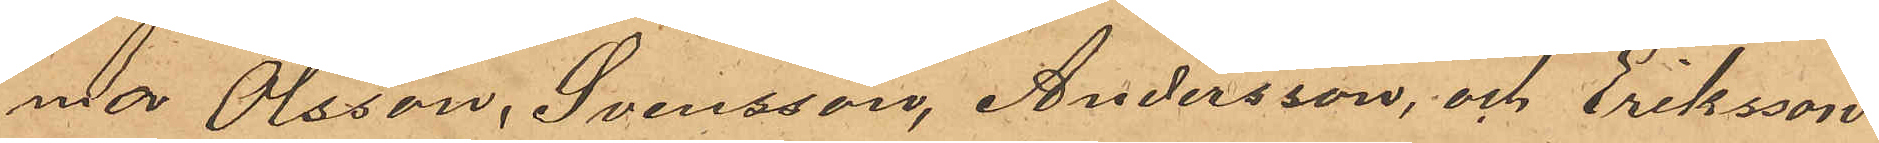ma Olsson, Svensson, Andersson, och Eriksson
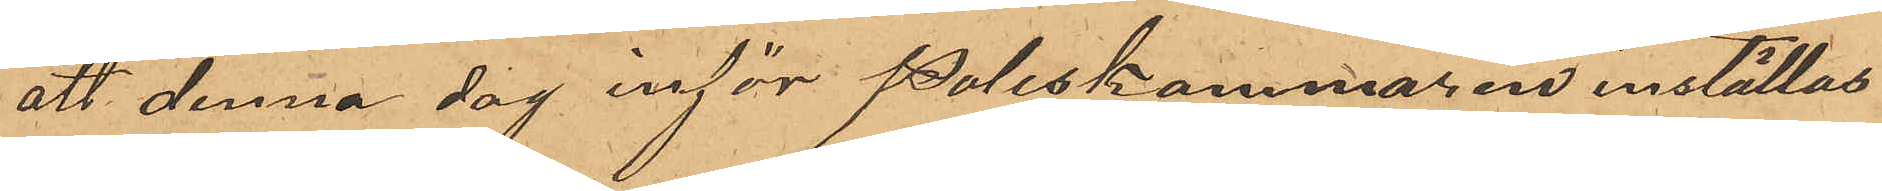att denna dag inför Poliskammaren inställas.
